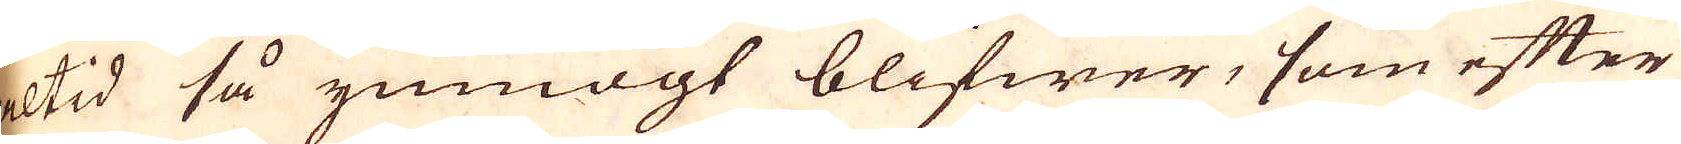altid så ymnnogt blifwer, som efter
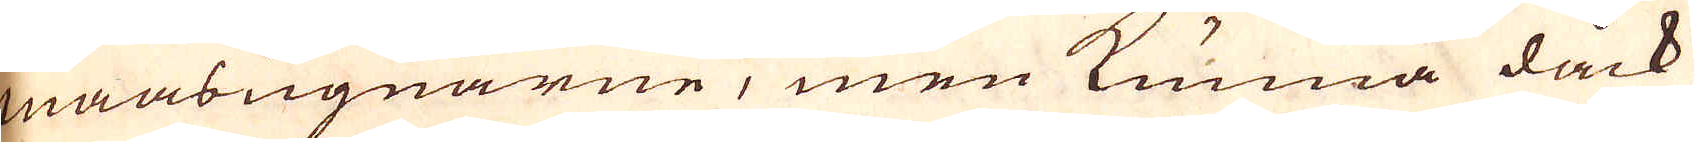maasugnarne, men kunna dåck
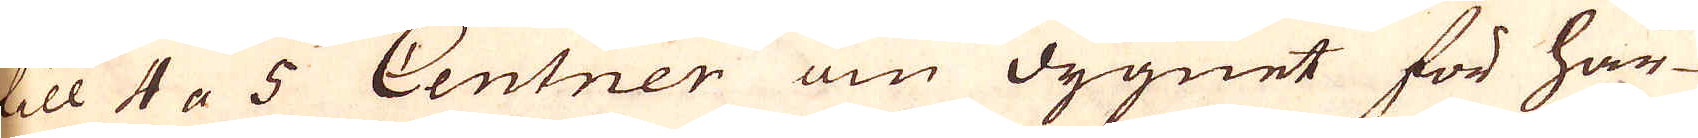till 4 a 5 Centner om dygnet för här-
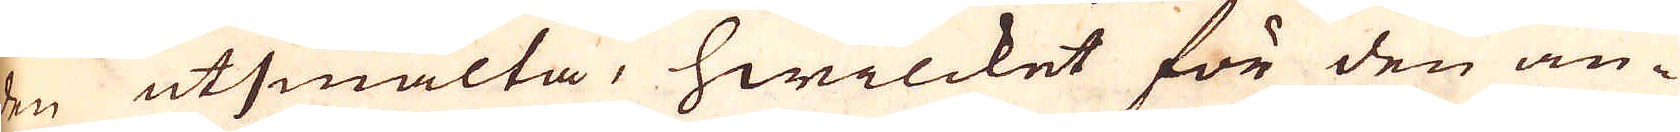den utsmälta, hwilcket för den an-
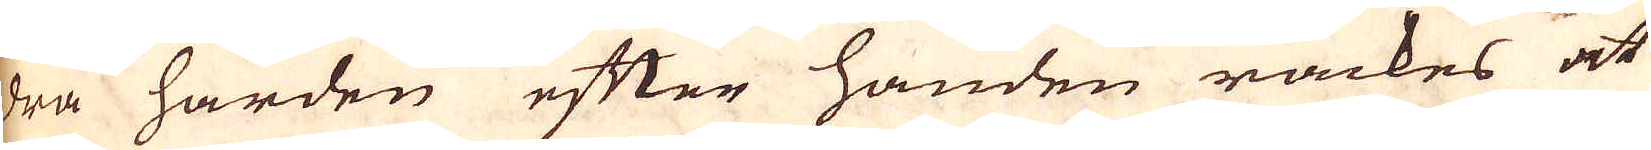dra härden efter handen räckes at
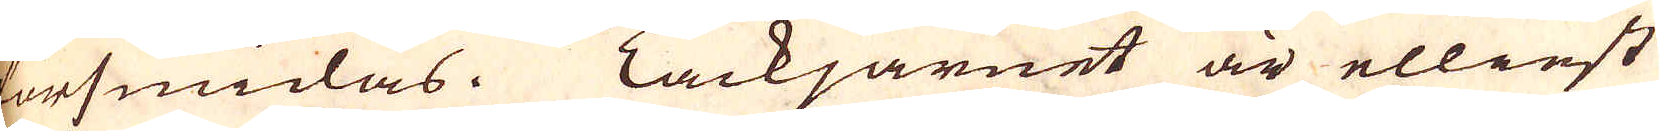försmidas. Tackjärnet är ellinst
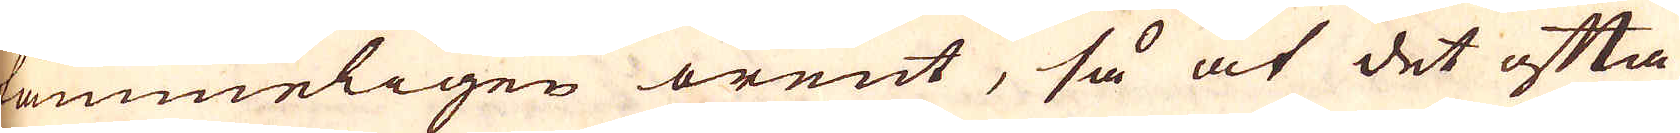tämmeligen orent, så at det ofta
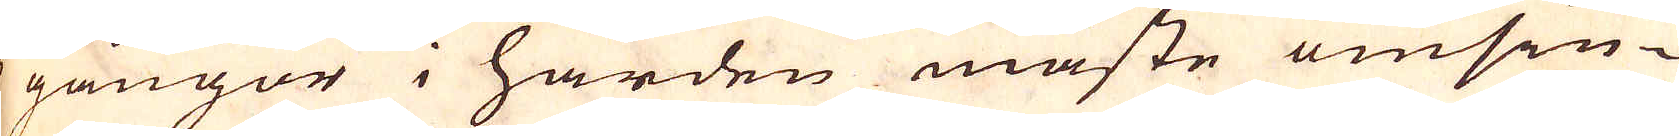3 gångor i härden måste omsiu-
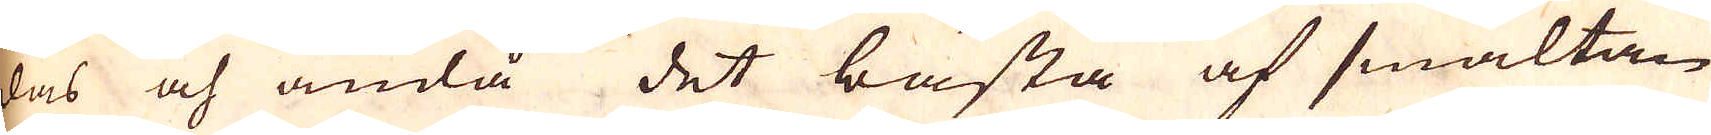das och ändå det bästa af smältan
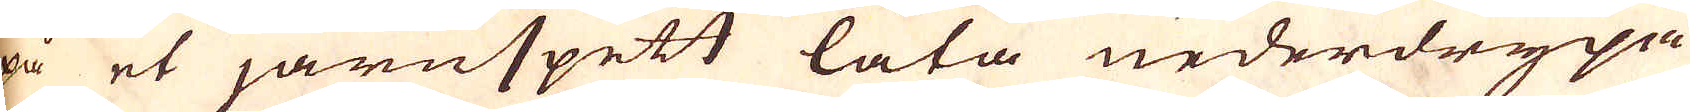på et järnspett låta nederdrypa
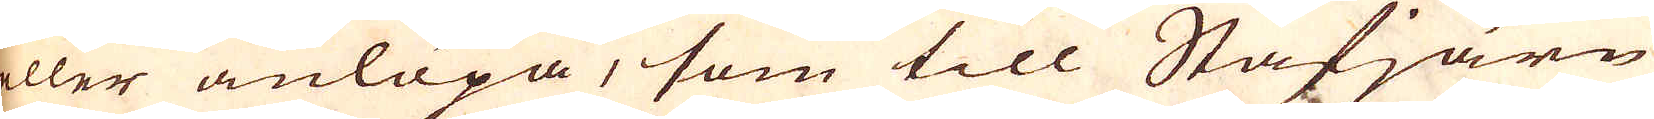eller anlöpa, som till Stafjärn
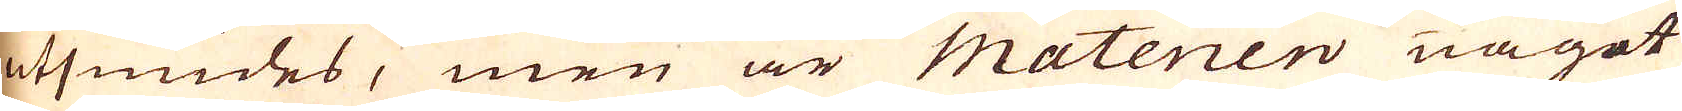utsmides, men är Materien något
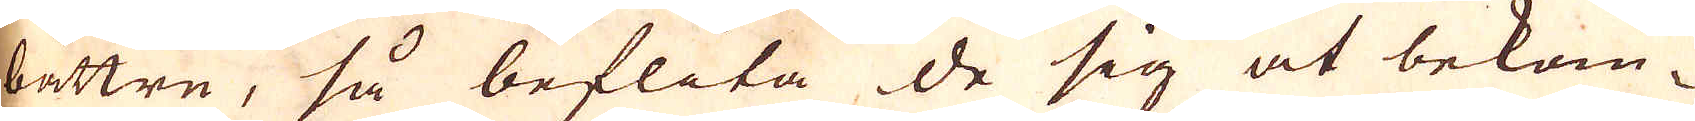bättre, så beflita de sig at bekom-
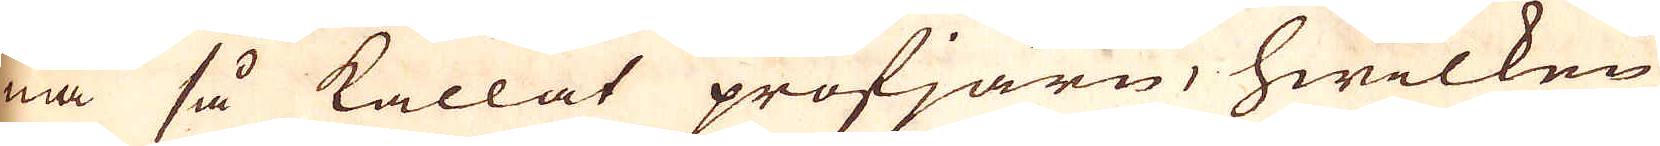ma så kallat profjärn, hwilken
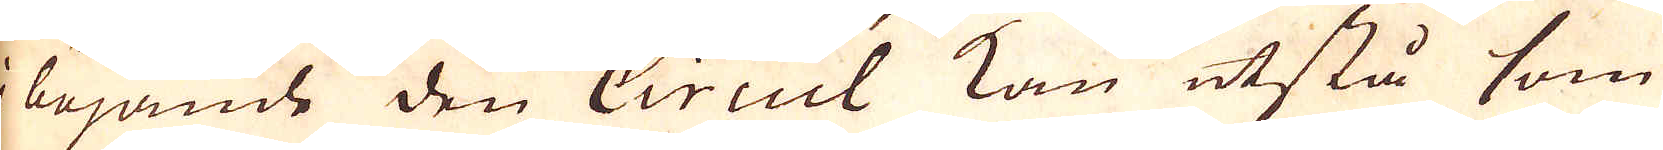i böjande den Circul kan utstå som
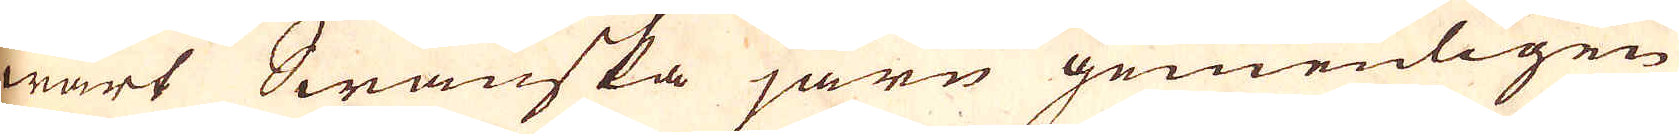wårt Swänska järn gemenligen
